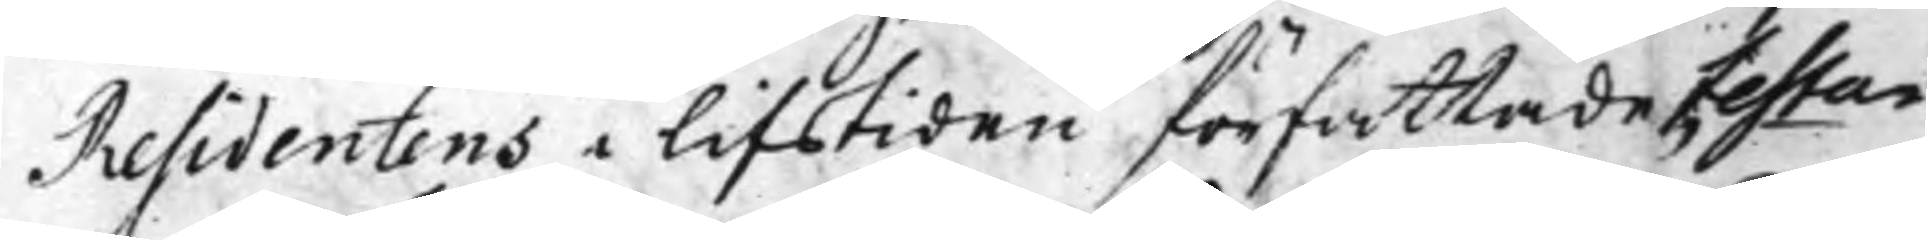Residentens i lifstiden författade Testa¬
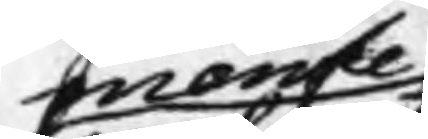mente
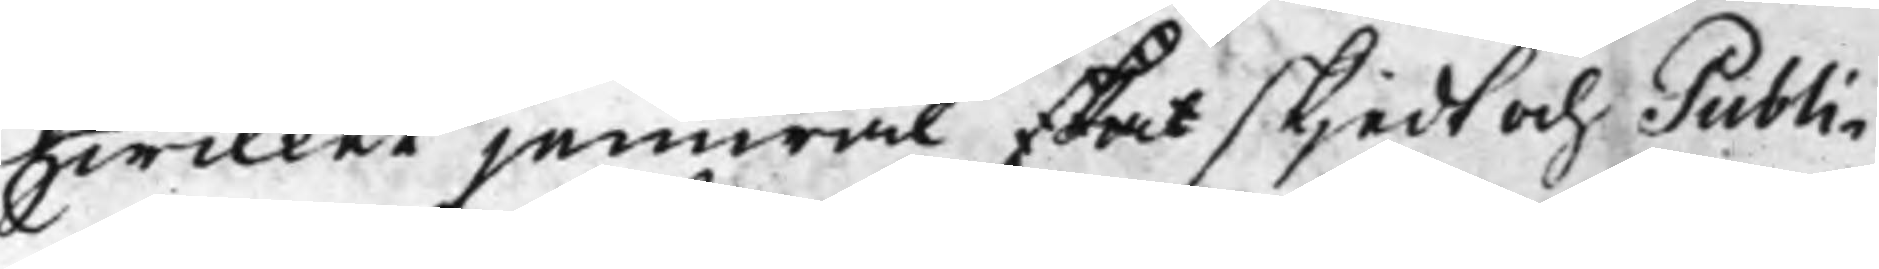hwilket jemwäl skal skjedt och Publi¬
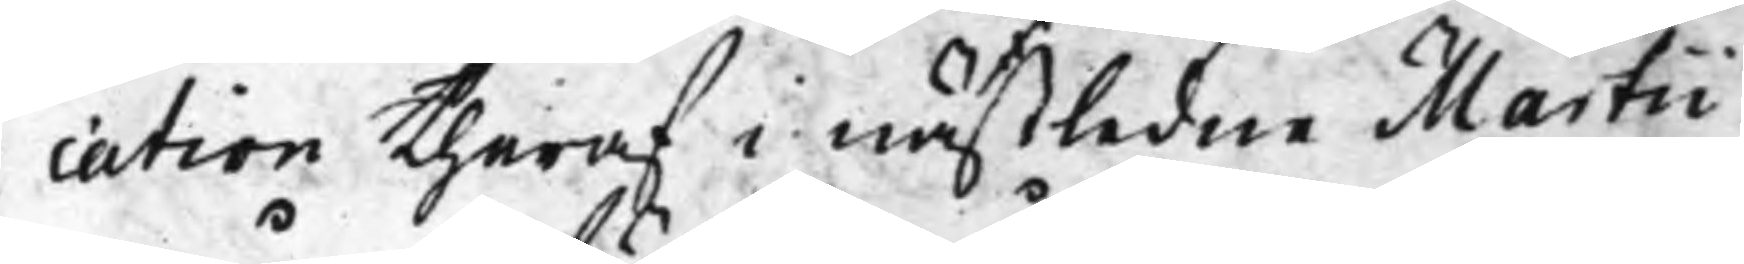cation theraf i nästledne Martii
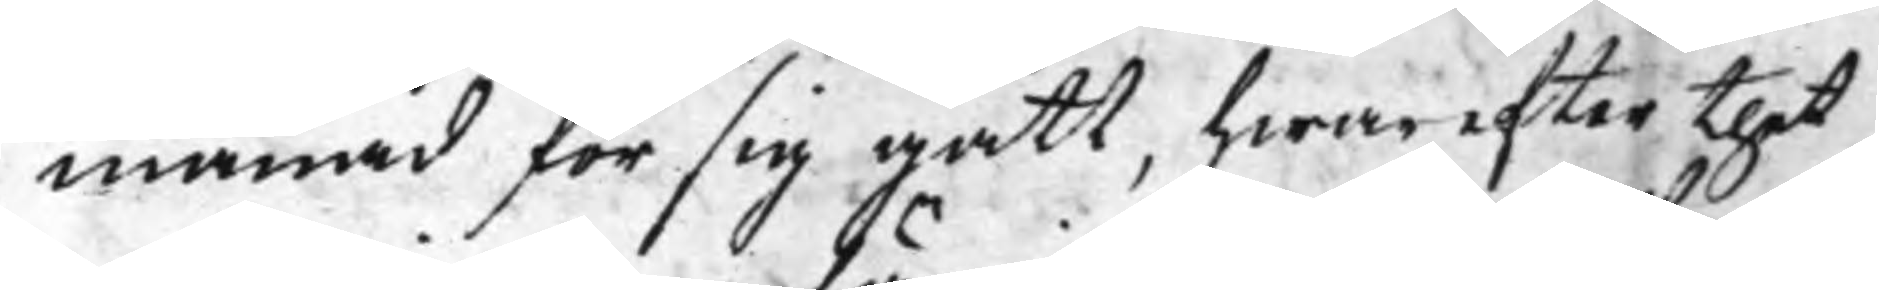månad för sig gått, hwarefter thet
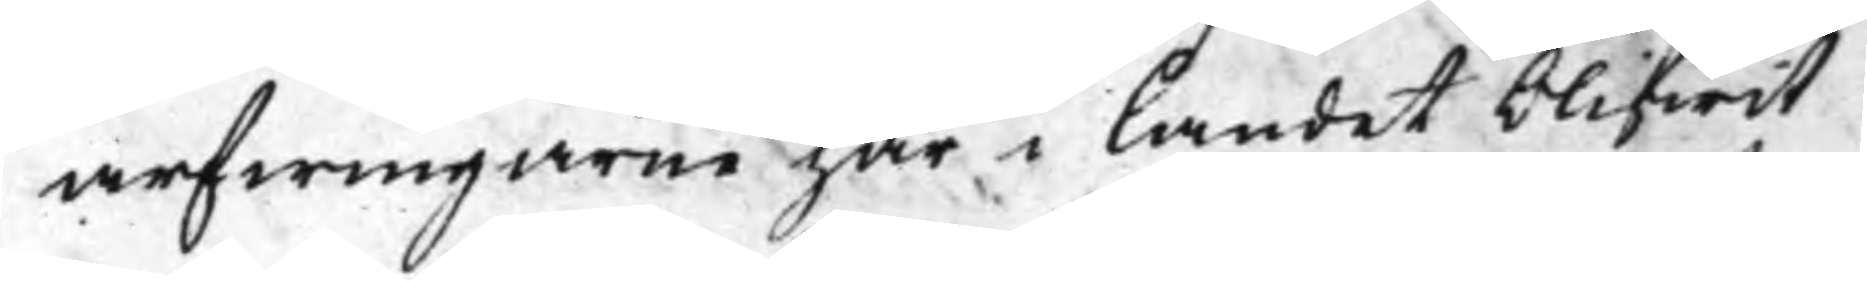arfwingarne här i landet blifwit
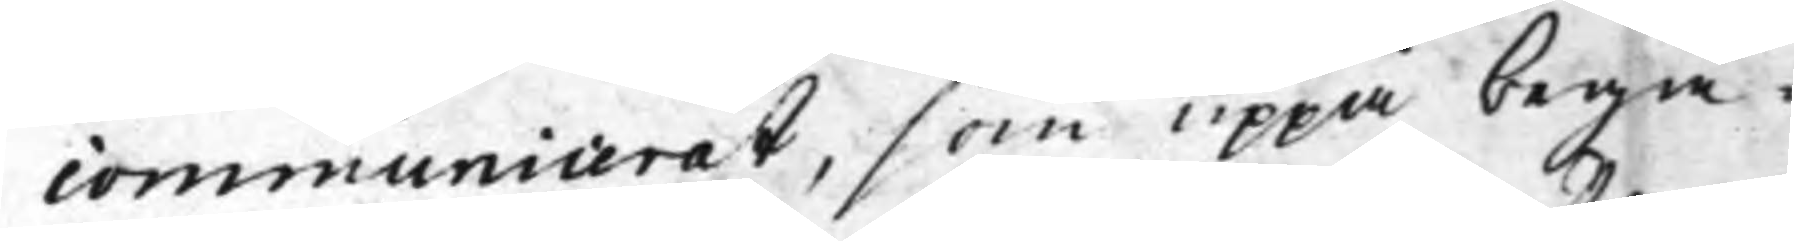communicerat, som uppå begä¬
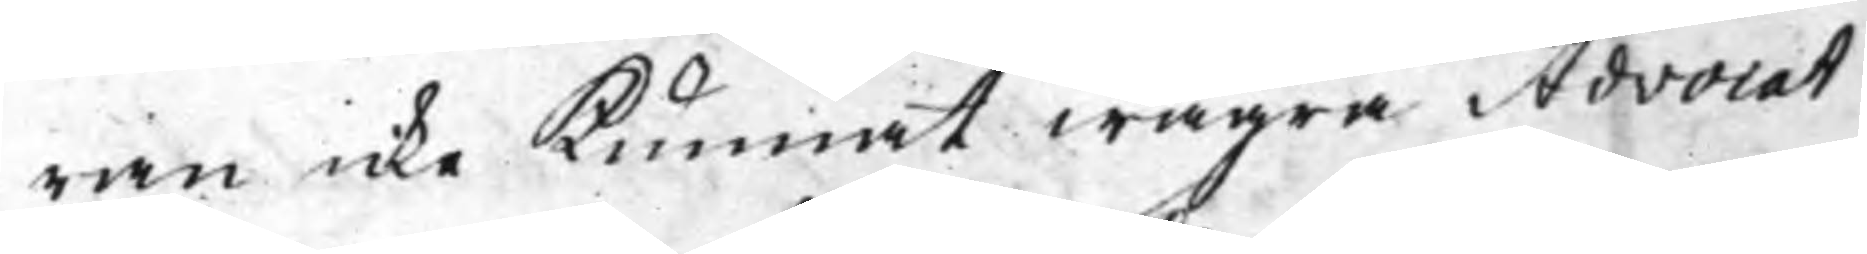ran icke Kunnat wägra Advocat
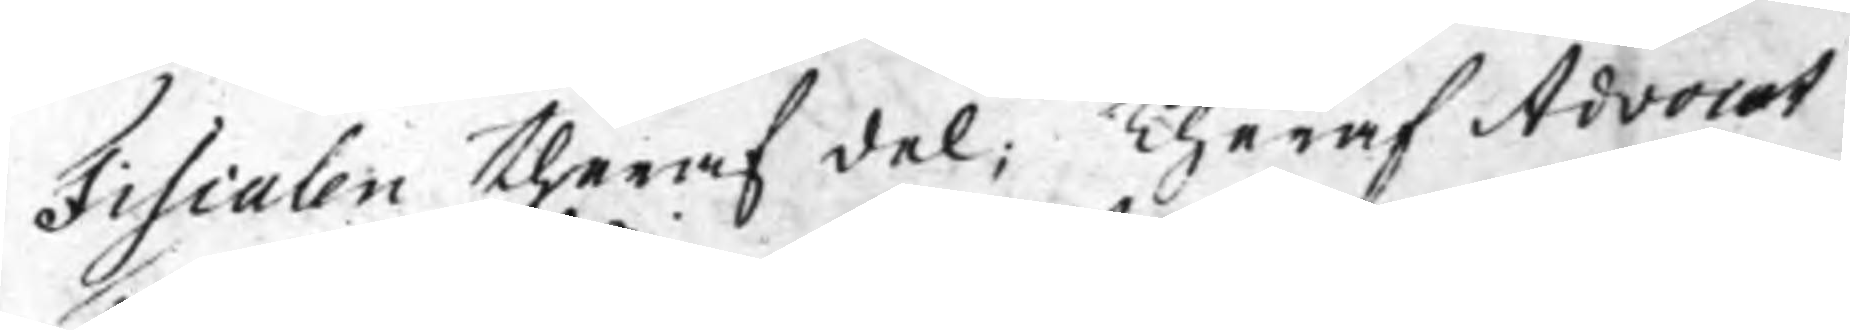Fiscalen theraf del; Theraf Advocat
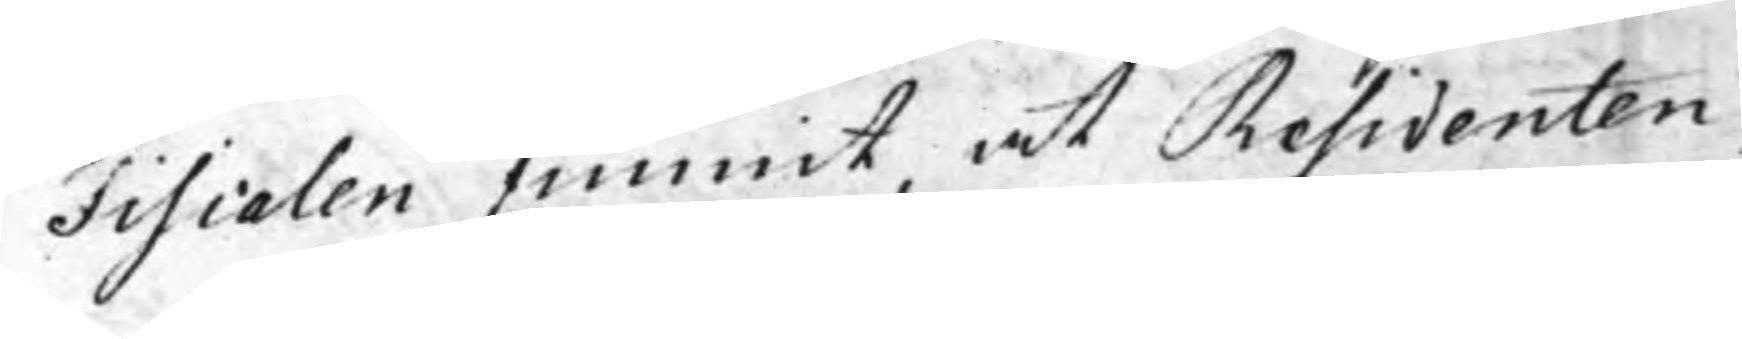Fiscalen funnit, at Residenten,
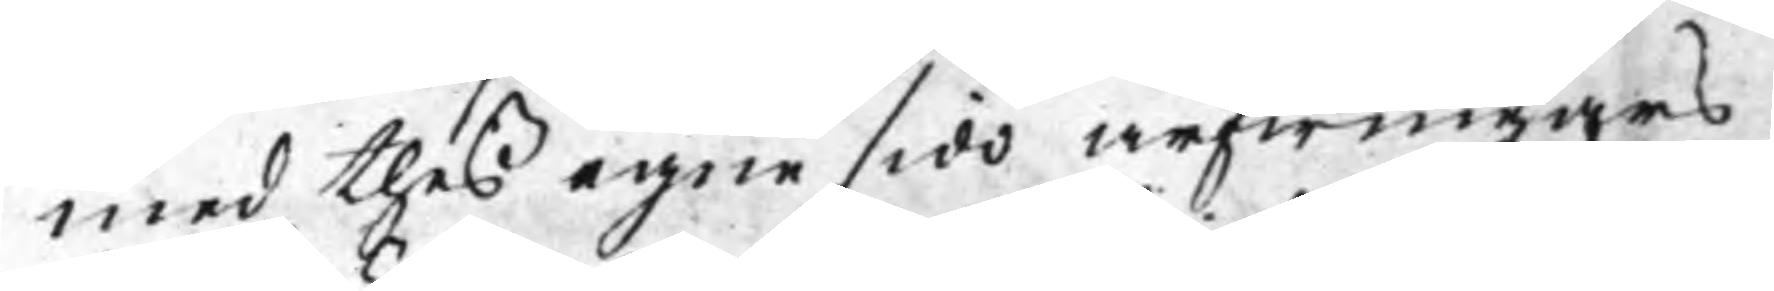med thes egne sido arfwingars
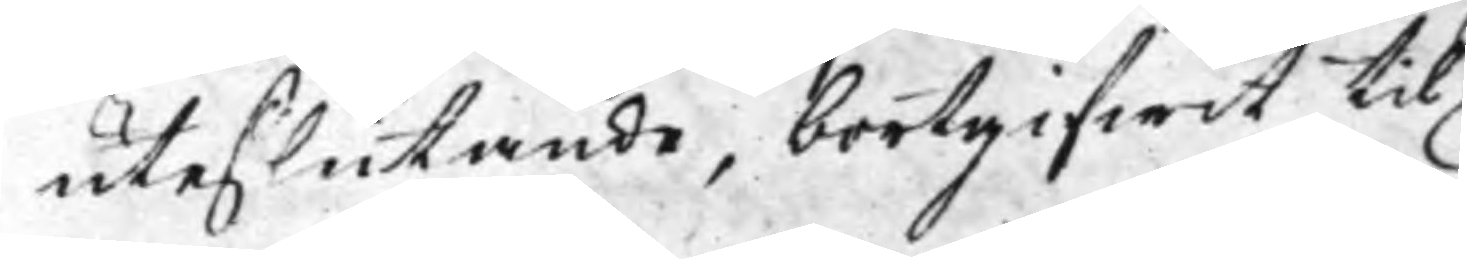uteslutande, bortgifwit til
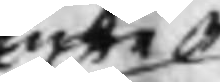Enke¬
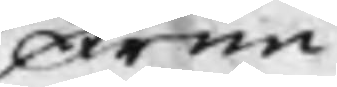Frun
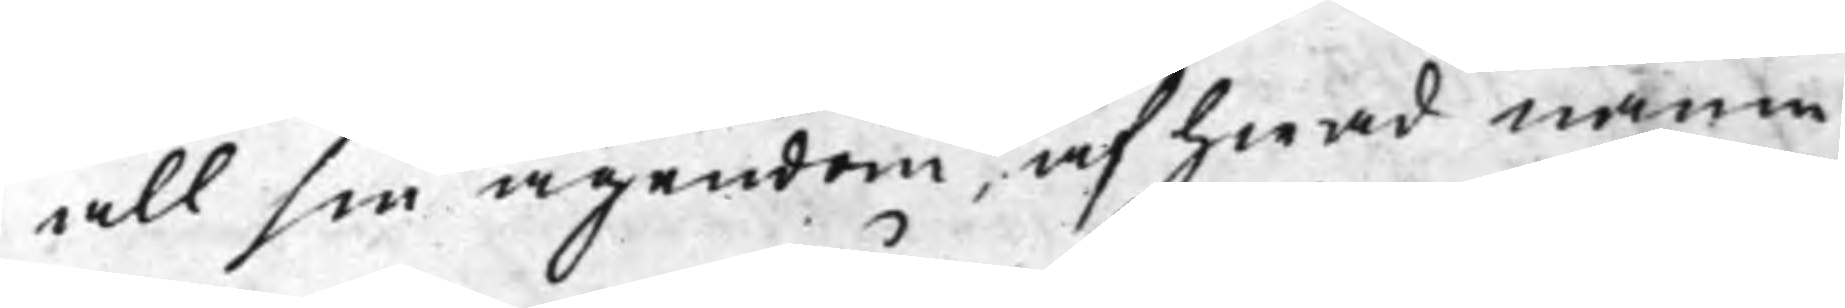all sin ägendom, af hwad namn
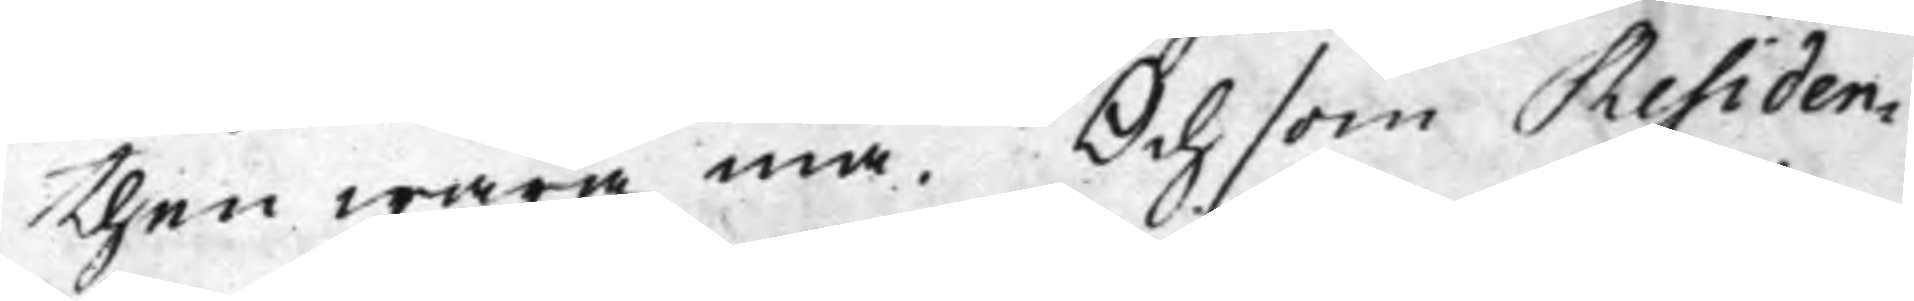then wara må. Och som Residen¬
